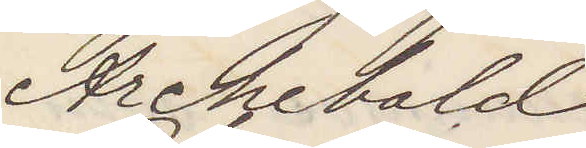Archibald
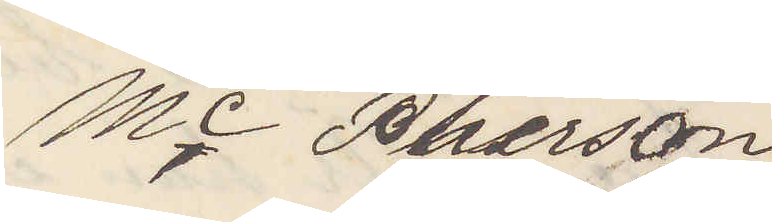Mc Pherson
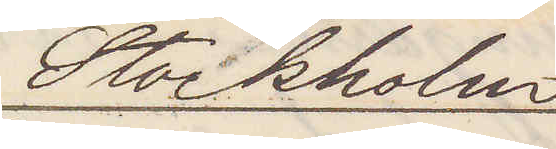Stockholm
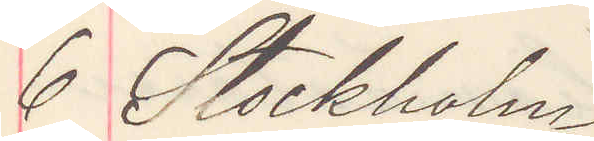6 Stockholm
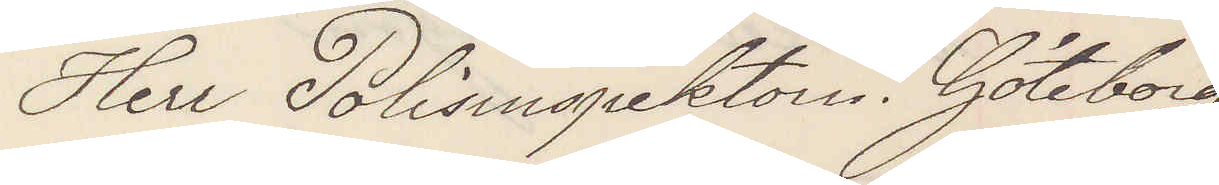Herr Polisinspektorn Göteborg
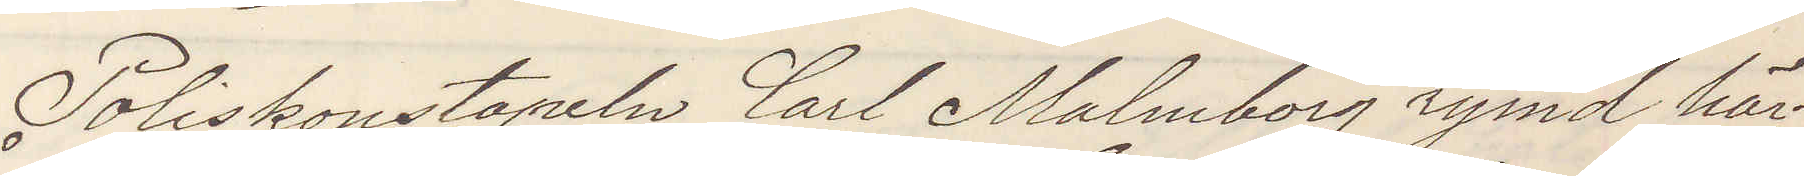Poliskonstapel Carl Malmborg rymd här¬
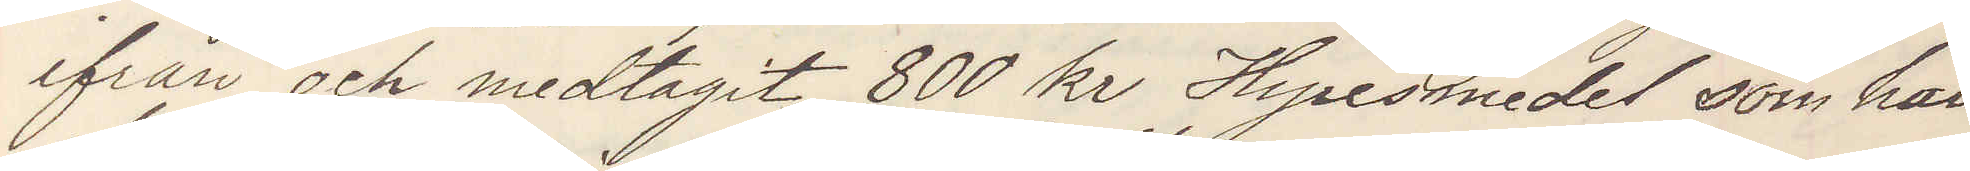ifrån och medtagit 800 kr Hyresmedel som han
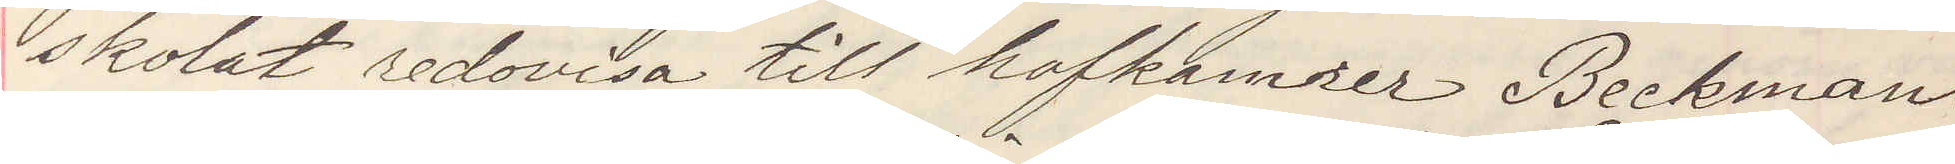skolat redovisa till hofkamrer Beckman.
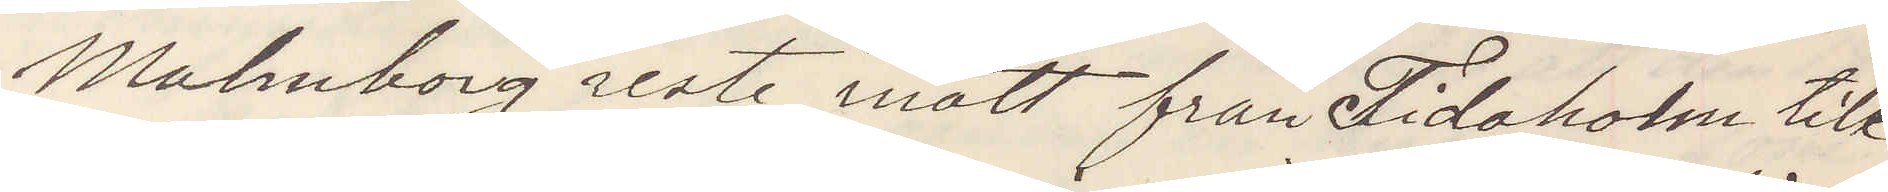Malmborg reste inatt från Tidaholm till
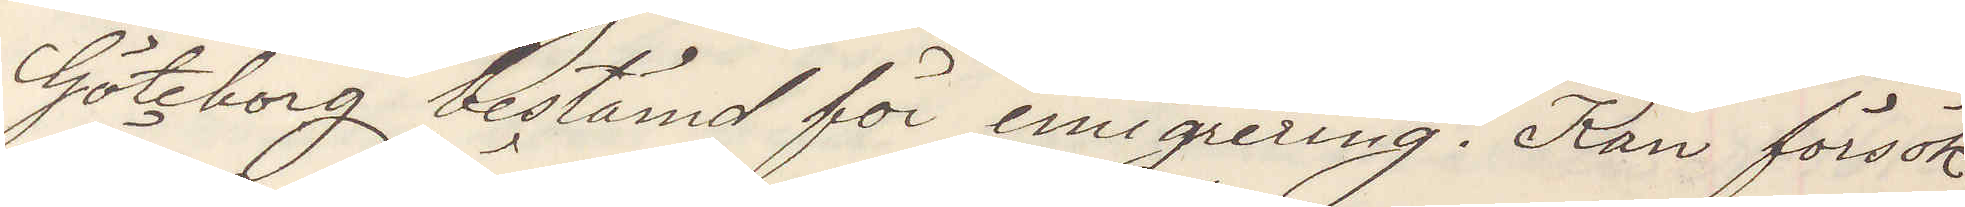Göteborg bestämd för emigrering. Kan försök
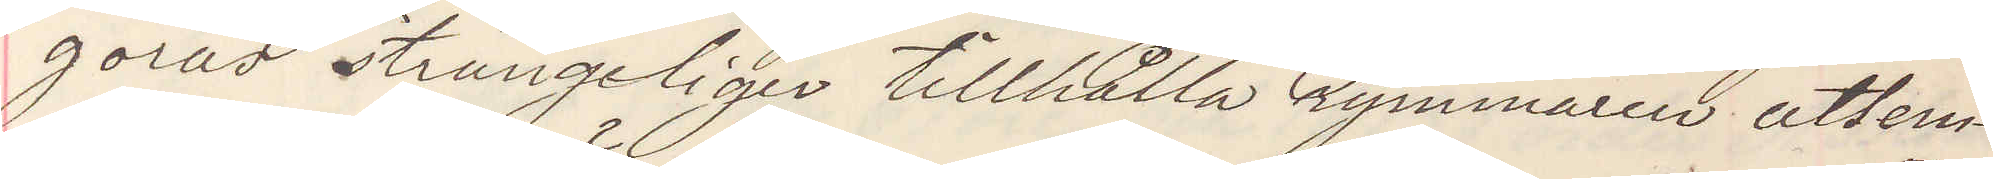göras strängeligen tillhålla rymmaren utlem¬
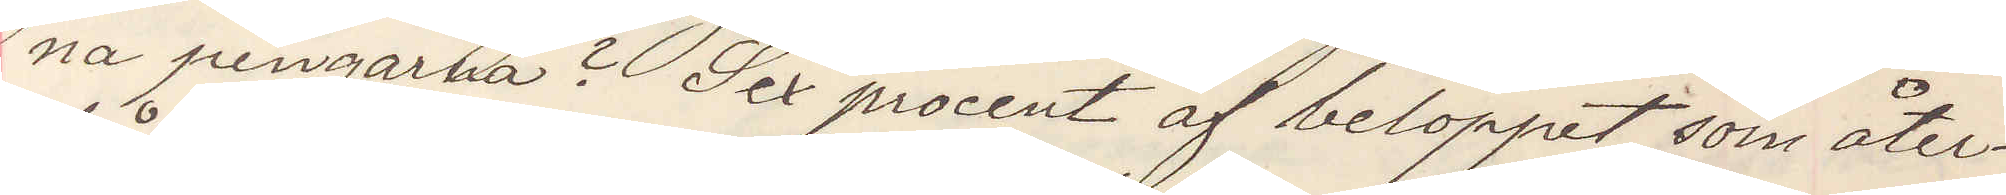na pengarna? Sex procent af beloppet som åter¬
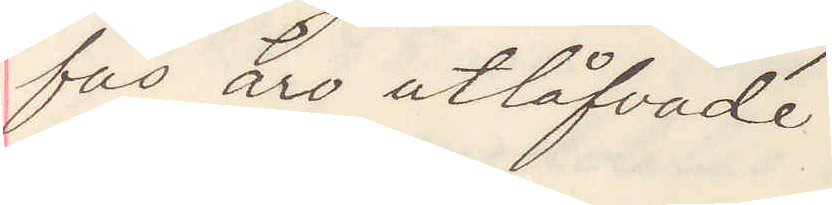fås äro utlåfvade.
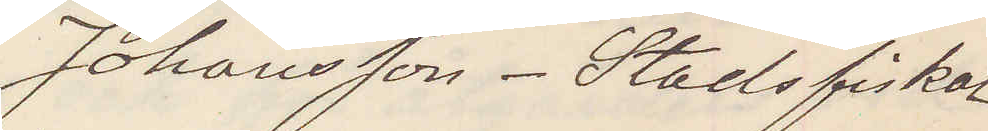Johansson. Stadsfiskal
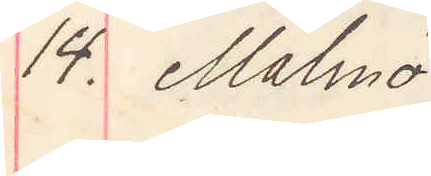14. Malmö.
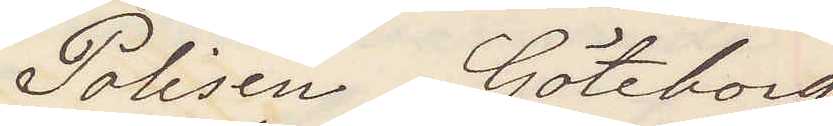Polisen Göteborg
